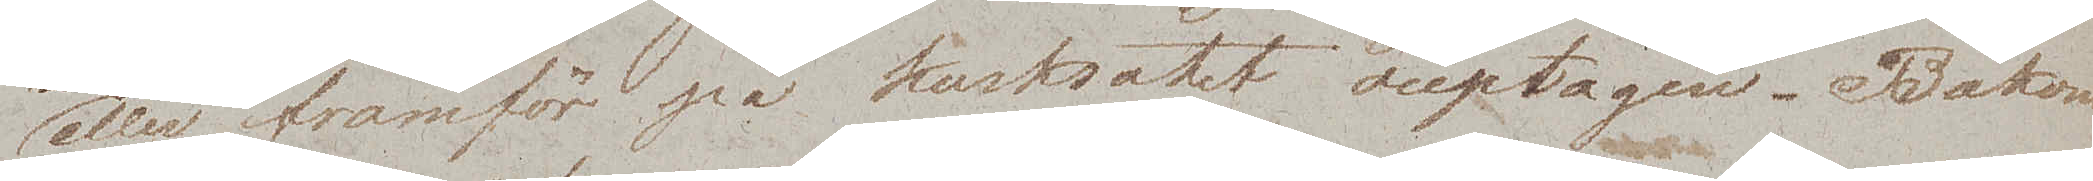eller framför på kusksätet ouptagen. Bakom
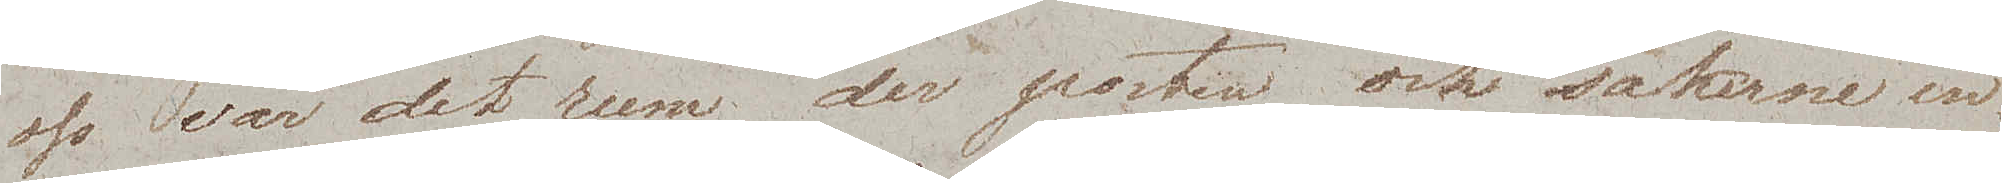oss var det rum der posten och sakerne in¬
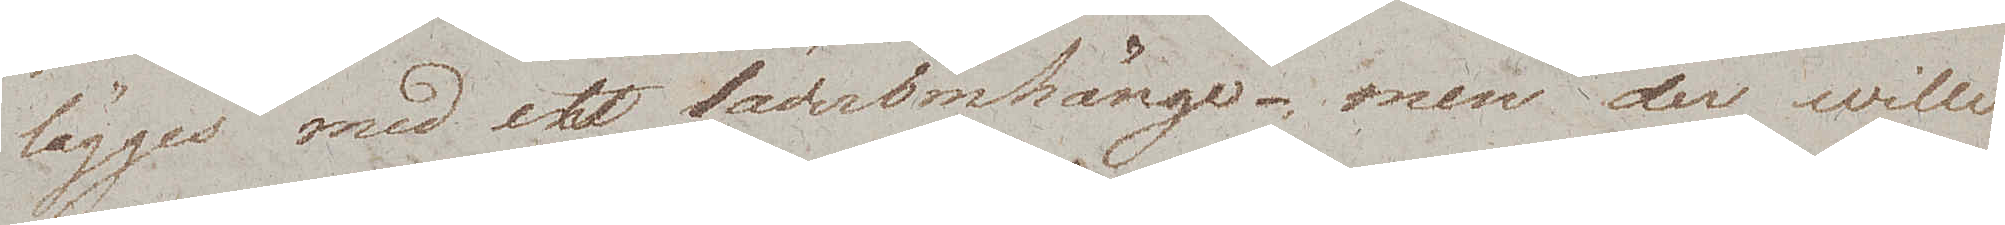lägges med ett läderomhänge – men der wille
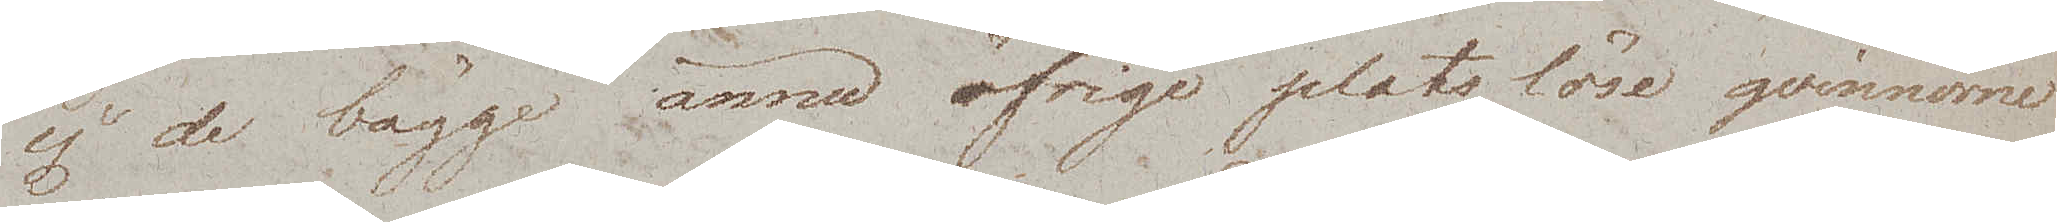ej de bägge ännu öfrige platslöse qvinnorne
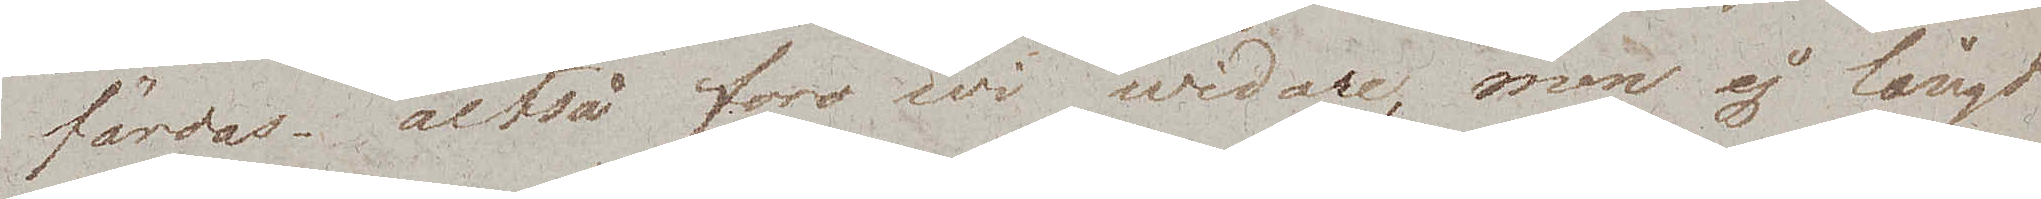färdas – altså foro wi widare, men ej långt
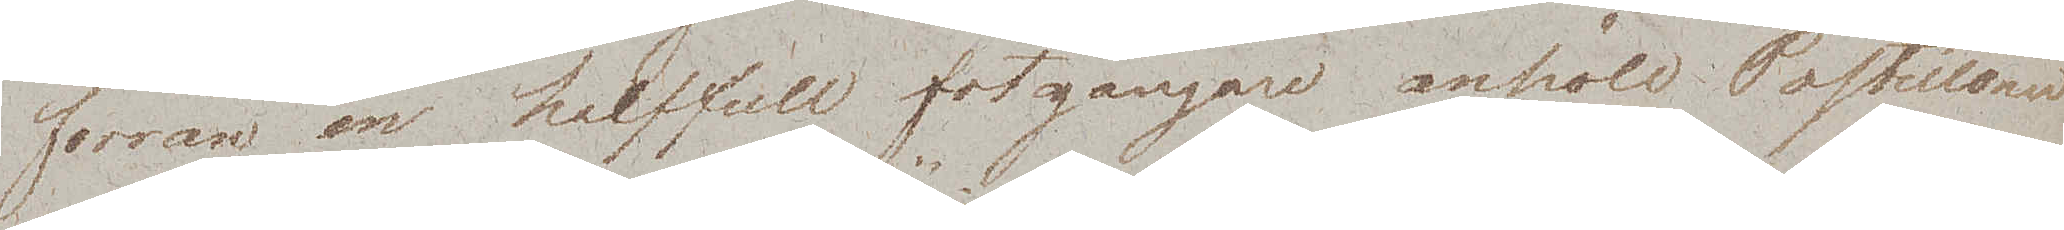förrän en halffull fotgängare anhöll Postillonen
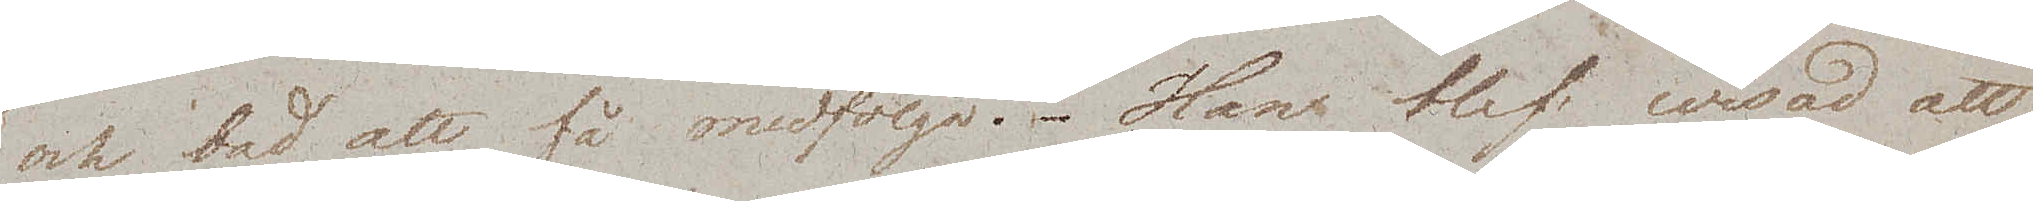och bad att få medfölja. Han blef wisad att
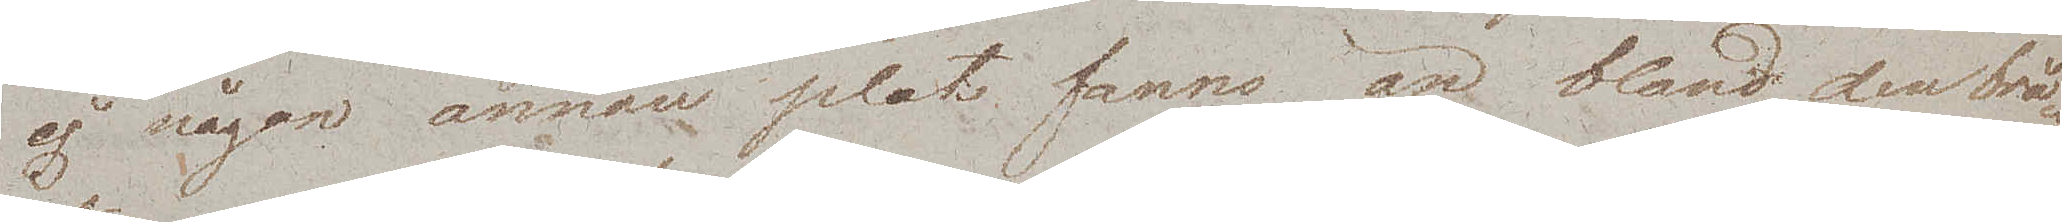ej någon annan plats fanns än bland den brå¬
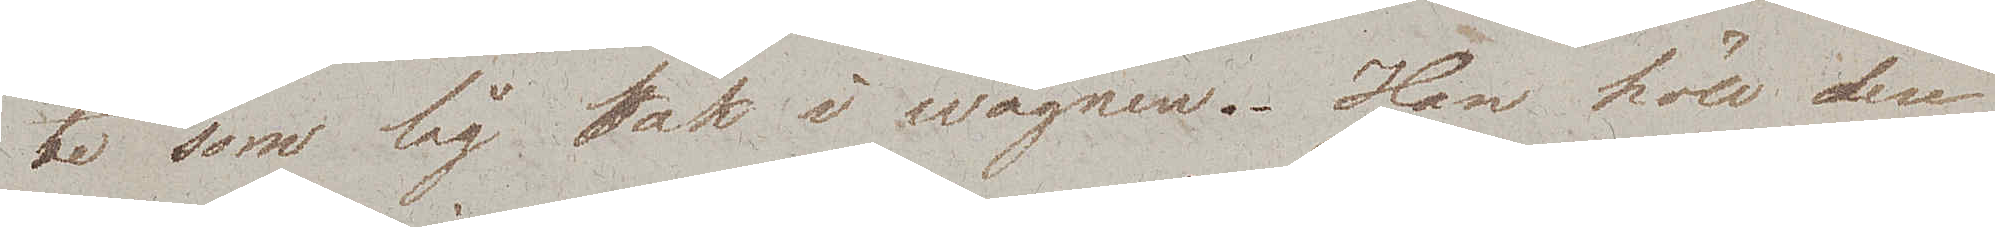te som låg bak i wagnen. Han höll der
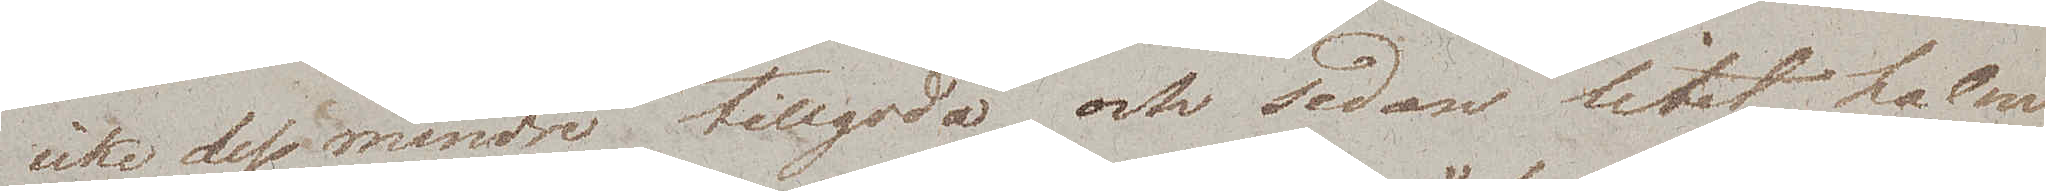icke dess mindre tillgodo och sedan litet halm
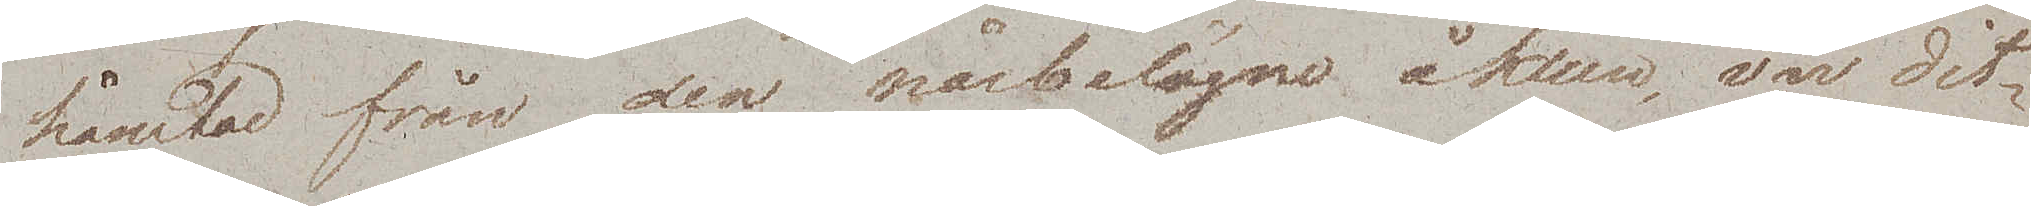hämtad från den närbelägne åken var dit¬
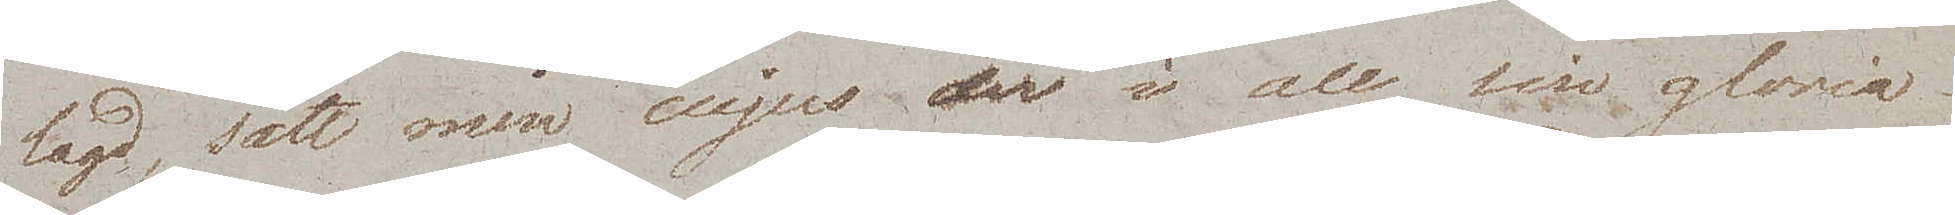lagd, satt min cujus der i all sin gloria.
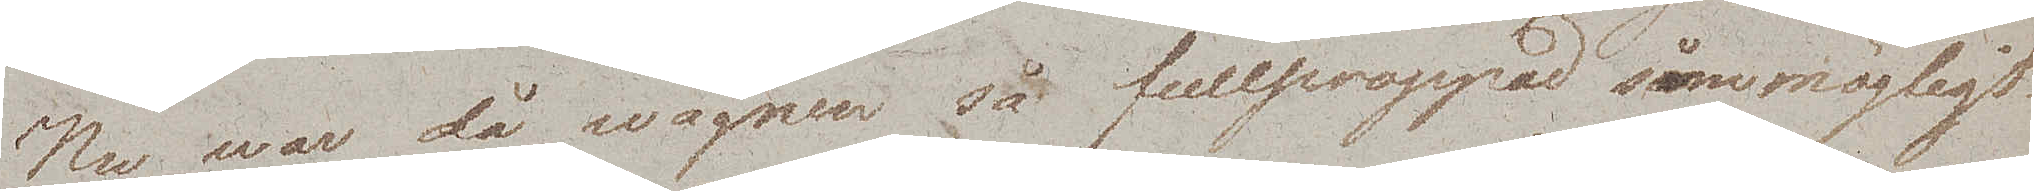Nu war då wagnen så fullproppad som möjligt
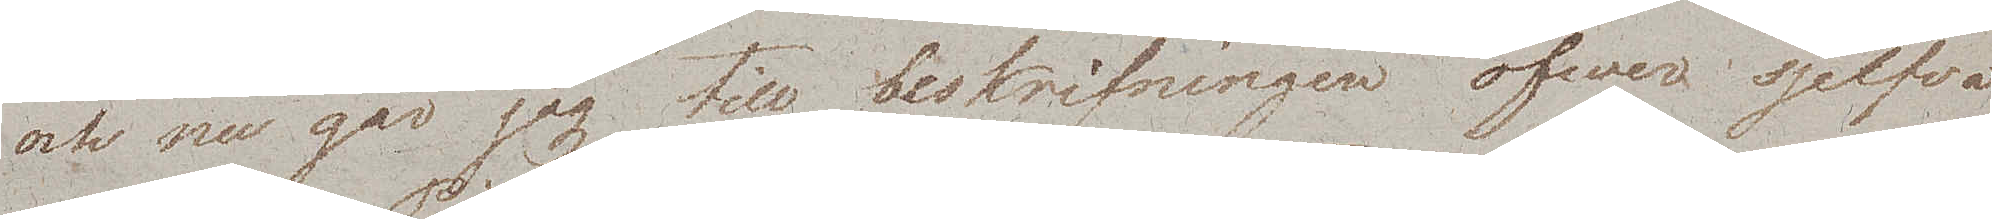och nu går jag till beskrifningen öfwer sjelfva
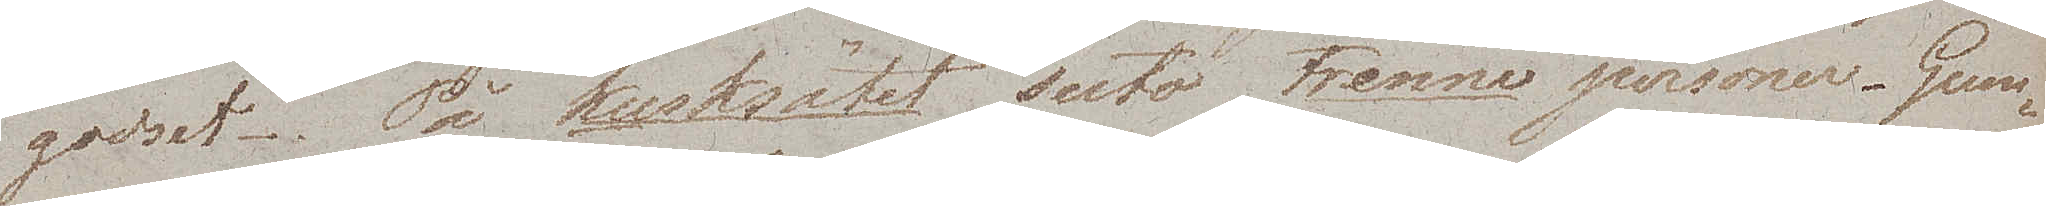godset. På kusksätet suto trenne personer. Gum¬
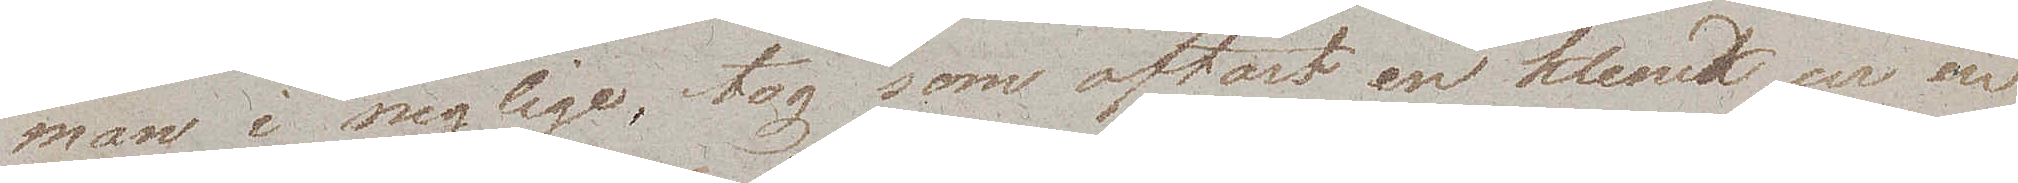man i neglige, tog som oftast en klunk ur en
